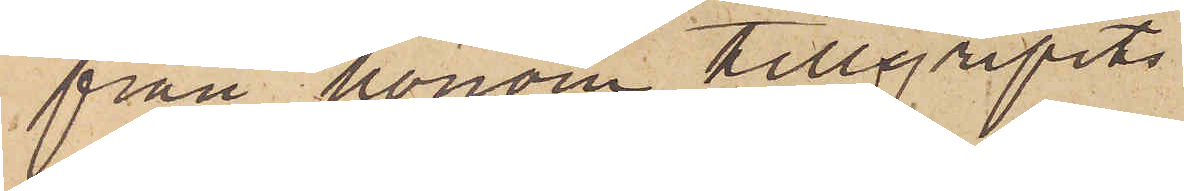från honom tillgripits
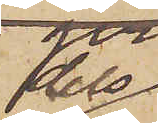dels
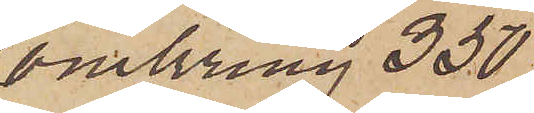omkring 350
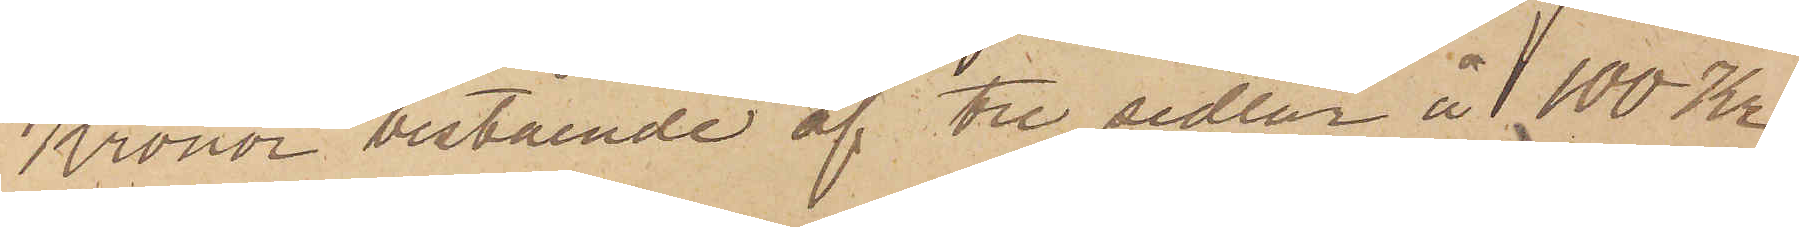Kronor bestående af tre sedlar å 100 Kr
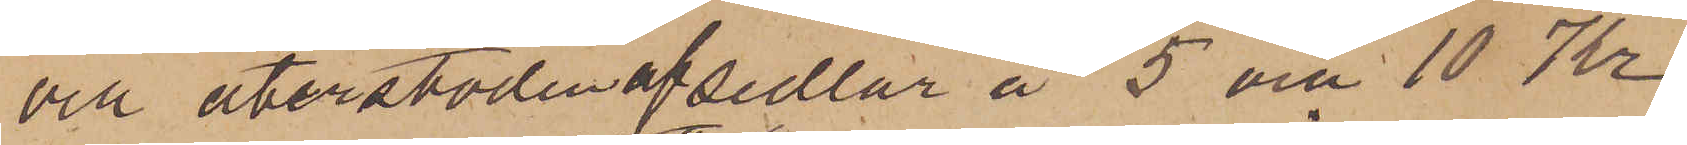och återstoden af sedlar å 5 och 10 Kr
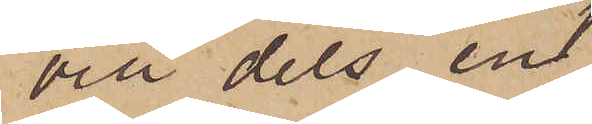och dels en
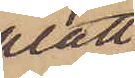platt
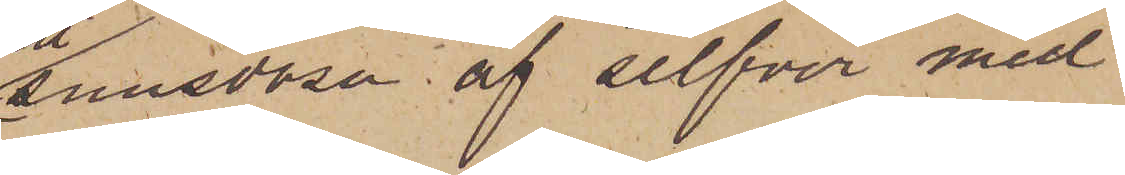snusdosa af silfver med
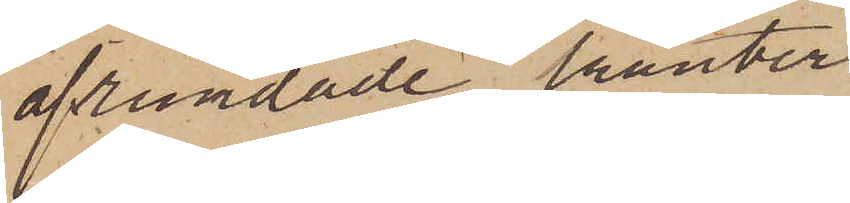afrundade kanter.
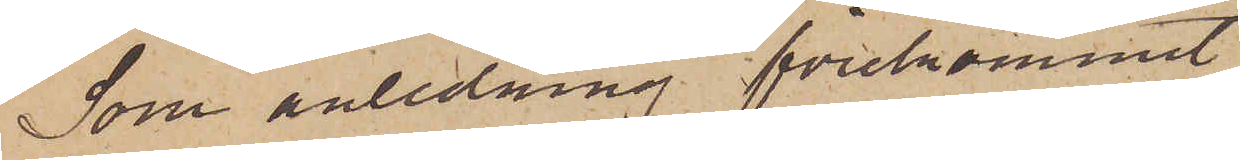Som anledning förekommit
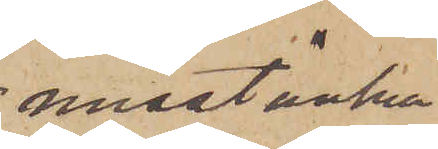misstänka
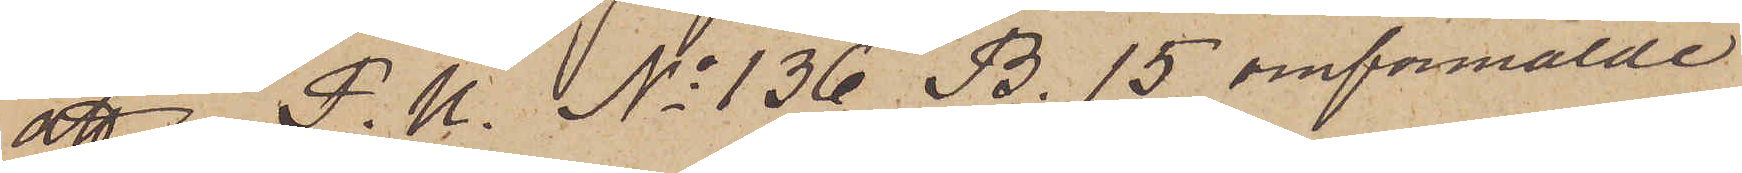att i P. U. No 136 B. 15 omförmälde
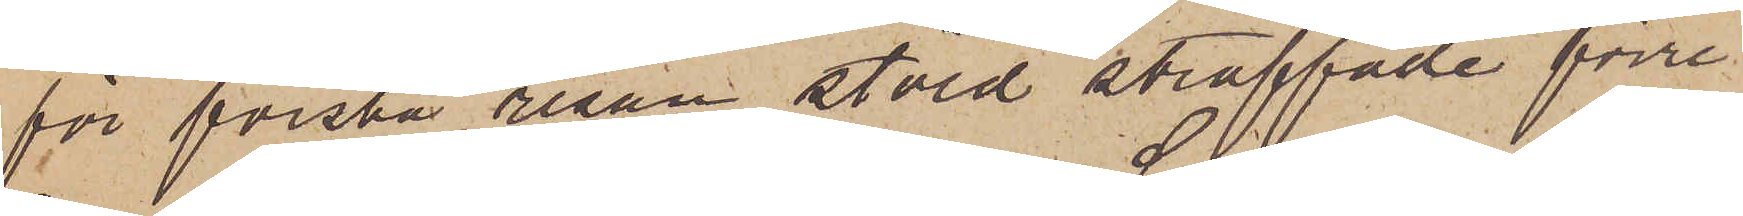för första resan stöld straffade förre
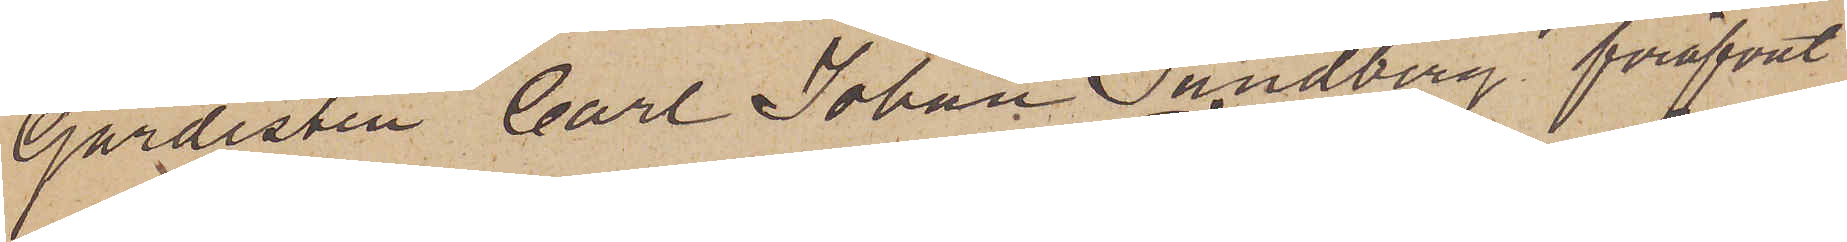Gardisten Carl Johan Sandberg föröfvat
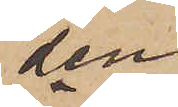den
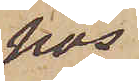hos
